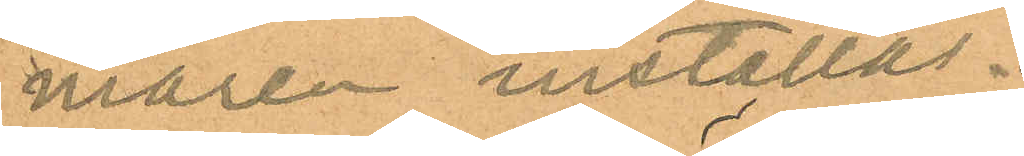maren inställas.
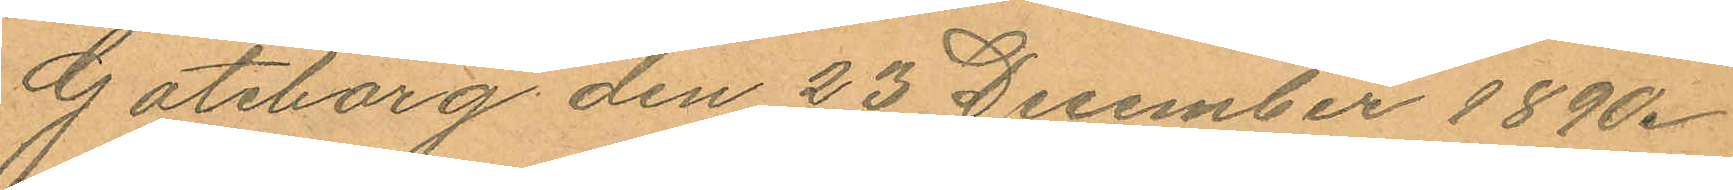Göteborg den 23 December 1890.
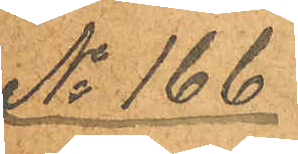No 166
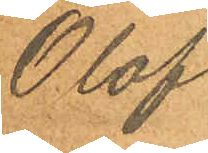Olof
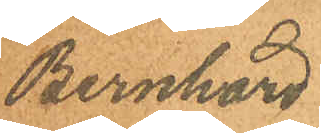Bernhard
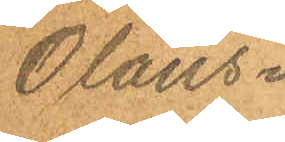Olaus¬
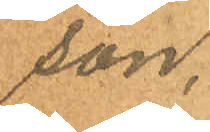son.
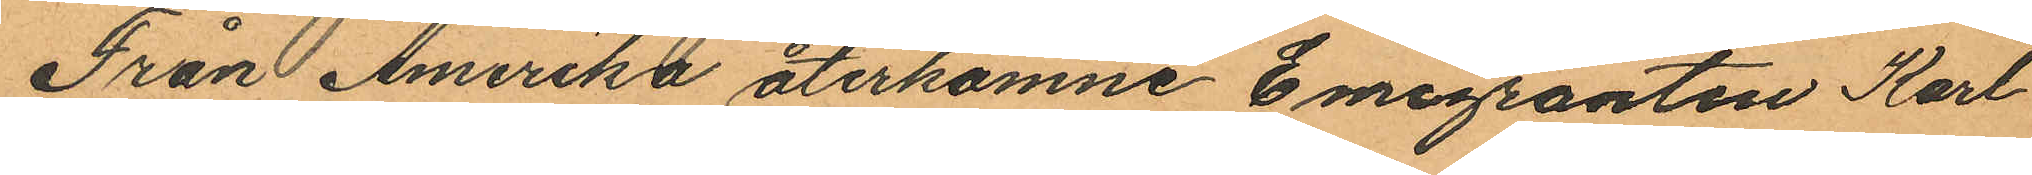Från Amerika återkomne Emigranten Karl
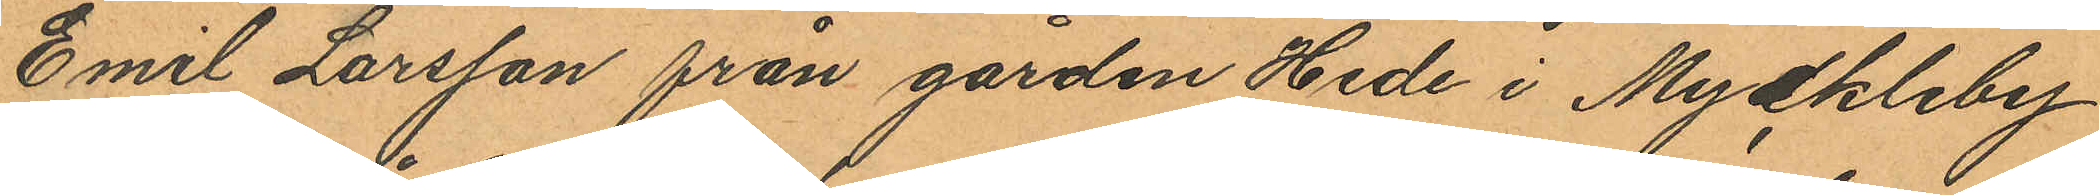Emil Larsson från gården Hede i Myckleby
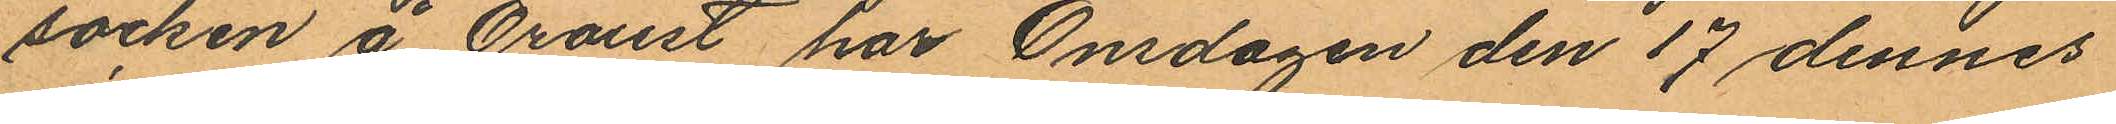socken å Oroust har Onsdagen den 17 dennes
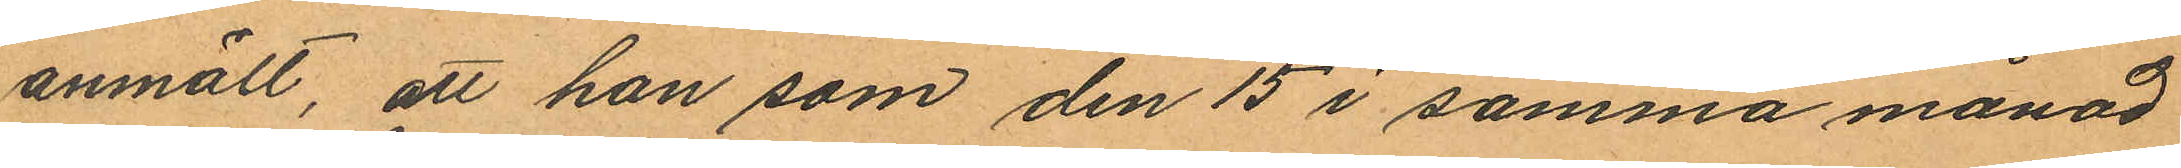anmält, att han som den 15 i samma månad
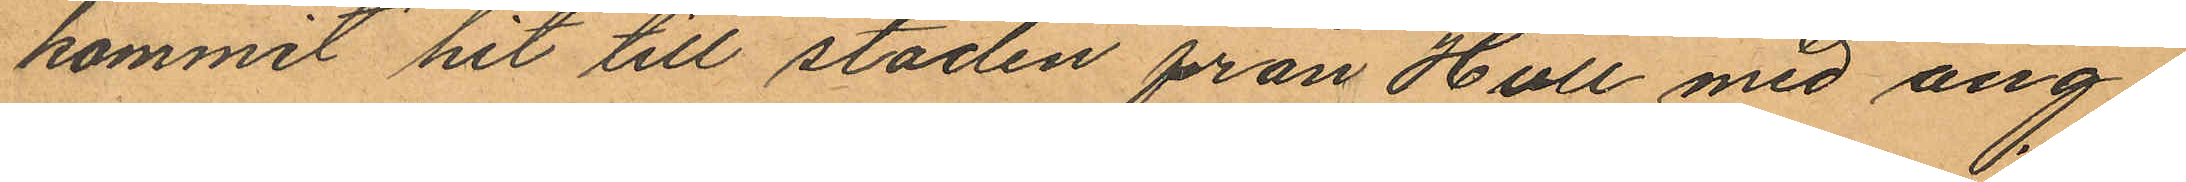kommit hit till staden från Hull med ång¬
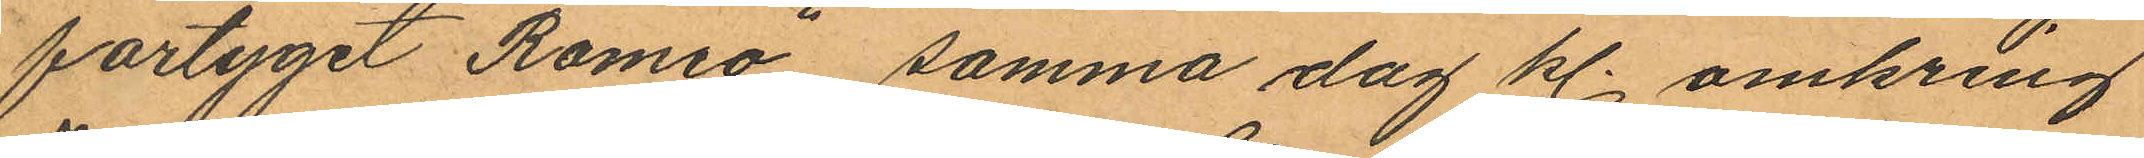fartyget "Romeo" samma dag kl. omkring
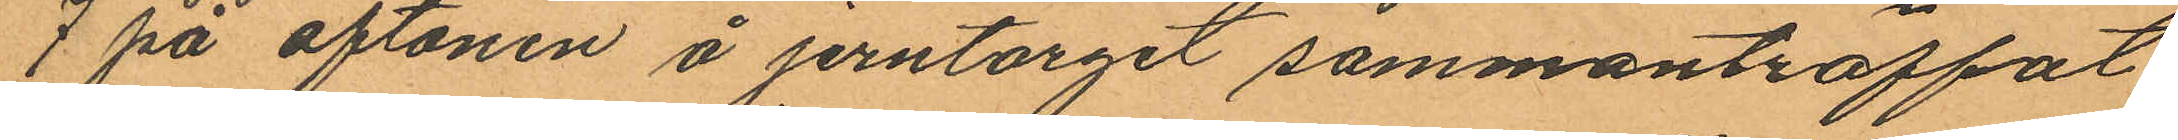7 på aftonen å jerntorget sammanträffat
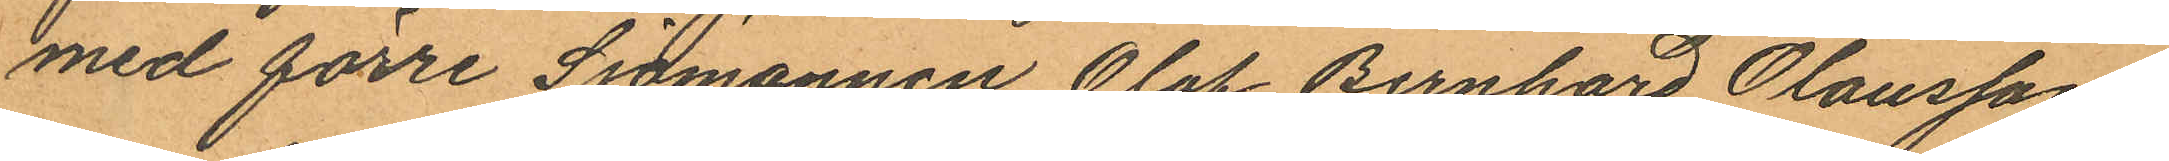med förre Sjömannen Olof Bernhard Olausson
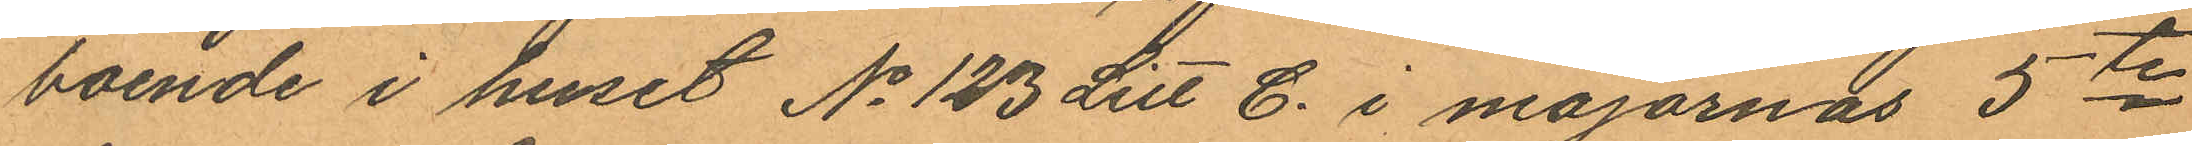boende i huset No 123 Litt C. i majornas 5te
